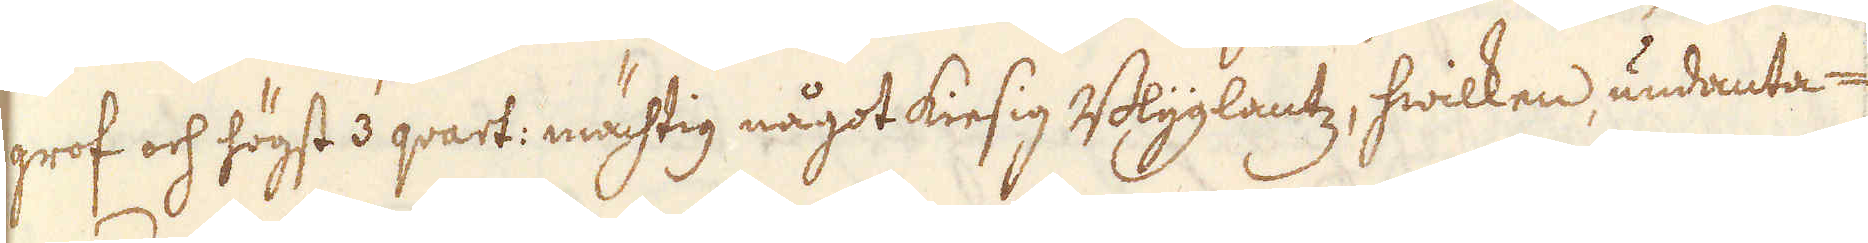grof och högst 3 qvart: mächtig något kiesig Blyglantz, hwilken undanta-
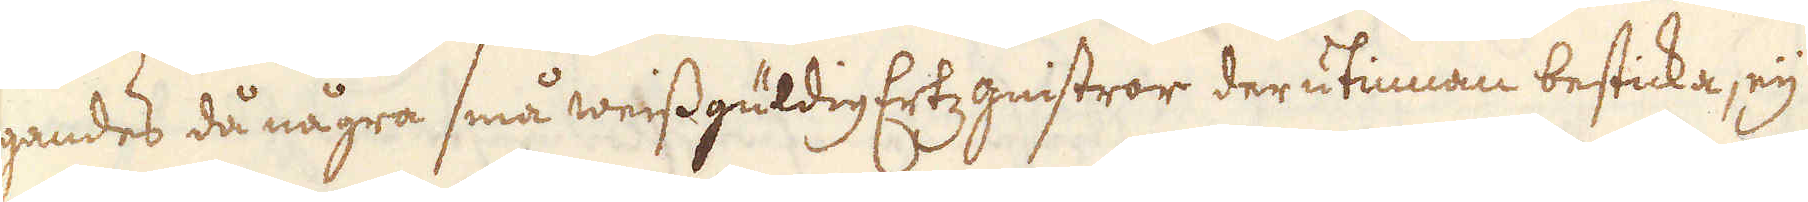gandes då några små weissgüldig Etz gnistror derutinnan besticka, eij
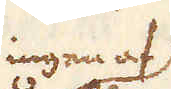ingen af
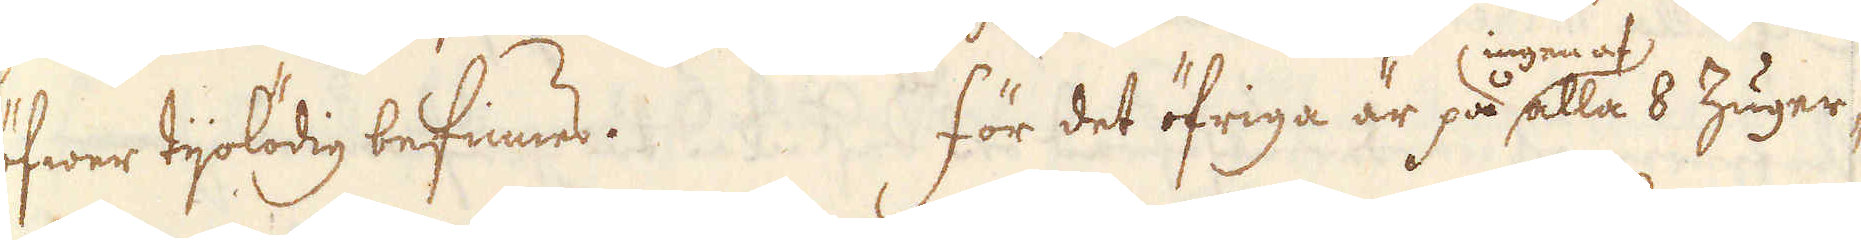öfwer tijolödig befinnes. För det öfriga är alla 8 Zuger,
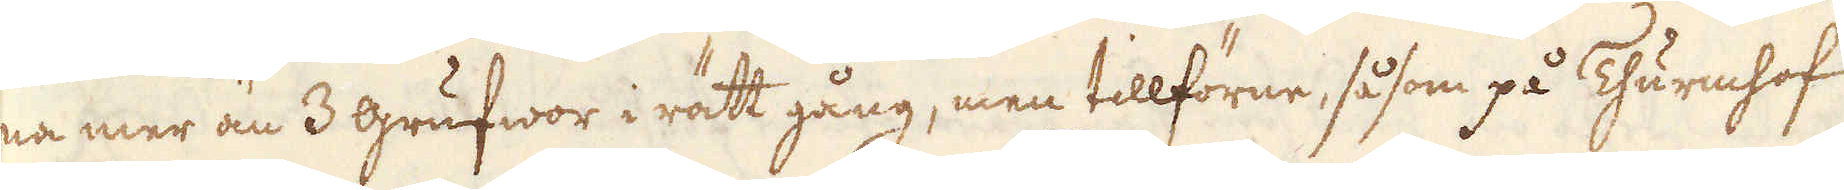na mer än 3 grufwor i rätt gång, men tillförne, såsom på Thurmhof
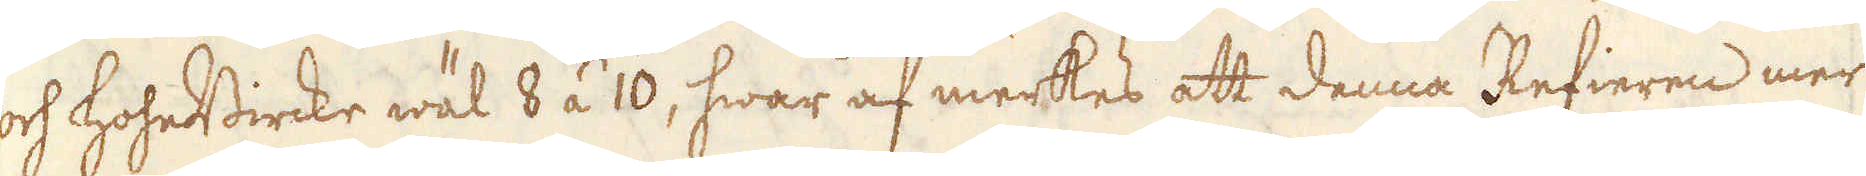och hoheBircke wäl 8 á 10, hwar af merkes att denna Refieren mer
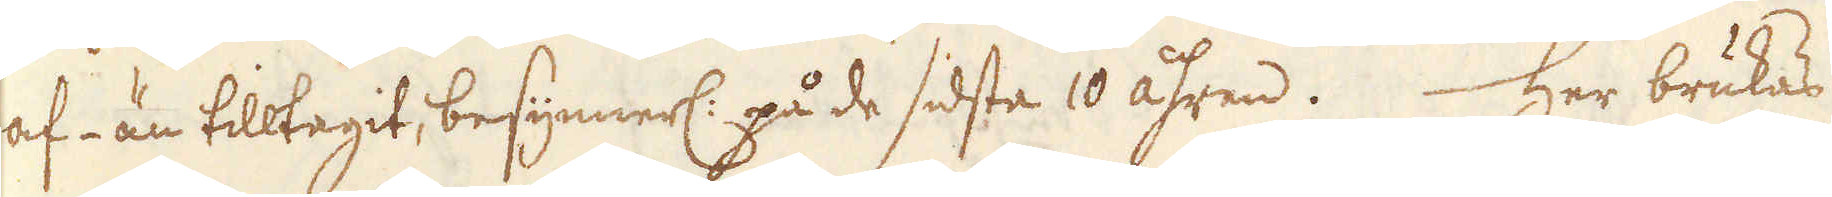af- än tilltagit, besynnerl: på de sidsta 10 åhren. Her brukas
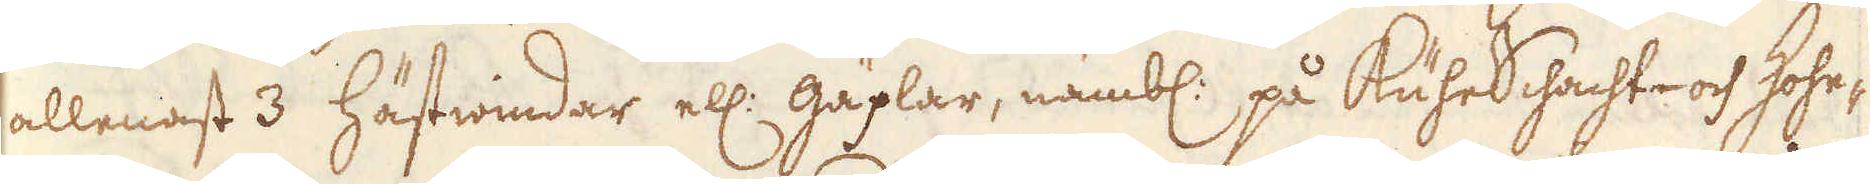allenast 3 hästwindar ell: gäplar, nämbl: på KuhnSchacht- och Hohe-
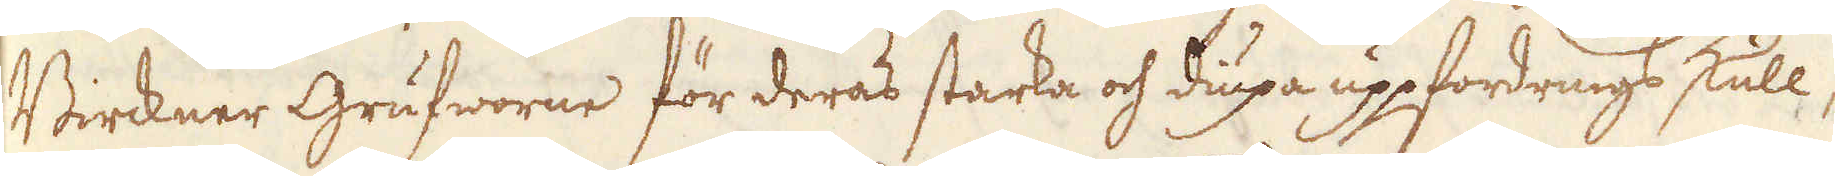Birckner Grufworne för deras starka och diupa uppfordrings skull,
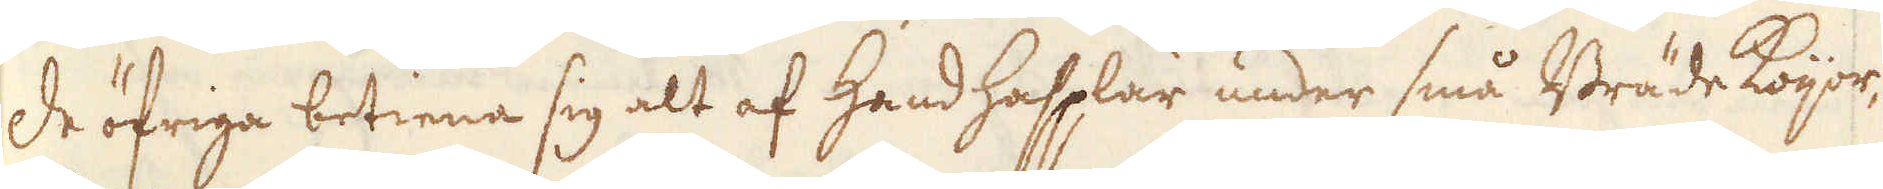de öfriga betiena sig alt af Handhasplar under små Bräde koijor,
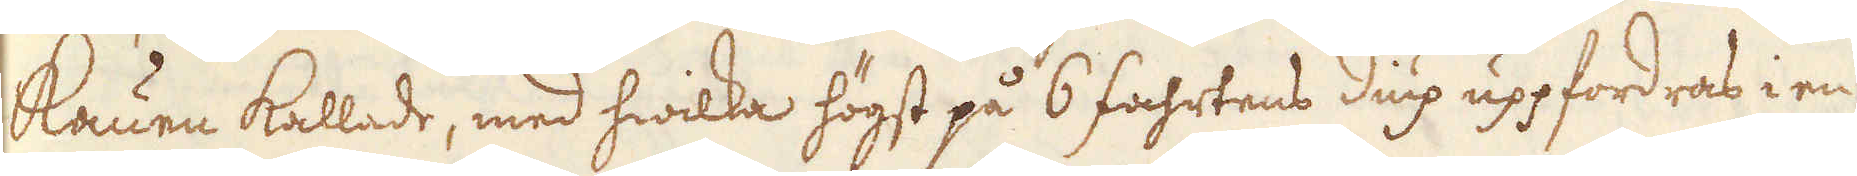kauen kallade, med hwilka högst på 6 fahrtens diup uppfordras i en
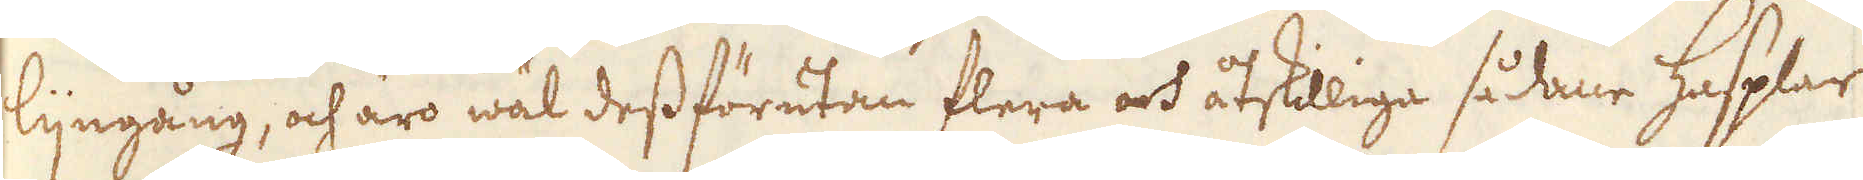lijngång, och äro wäl dess förutan flera och åtskilliga sådane hasplar
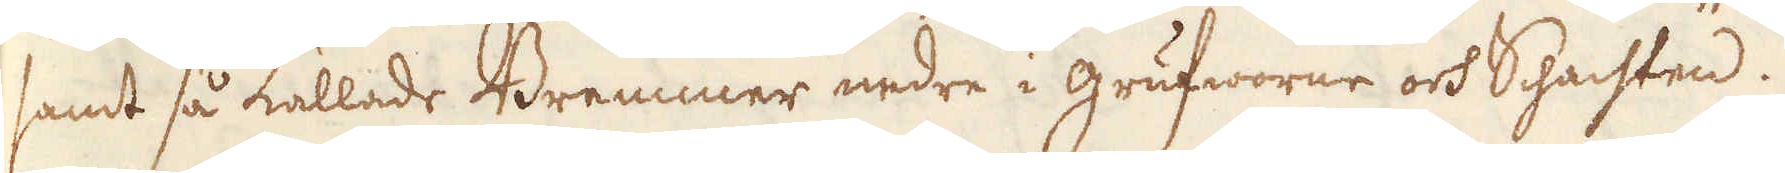samt så kallade Bremmer nedre i grufworne och Schachten.
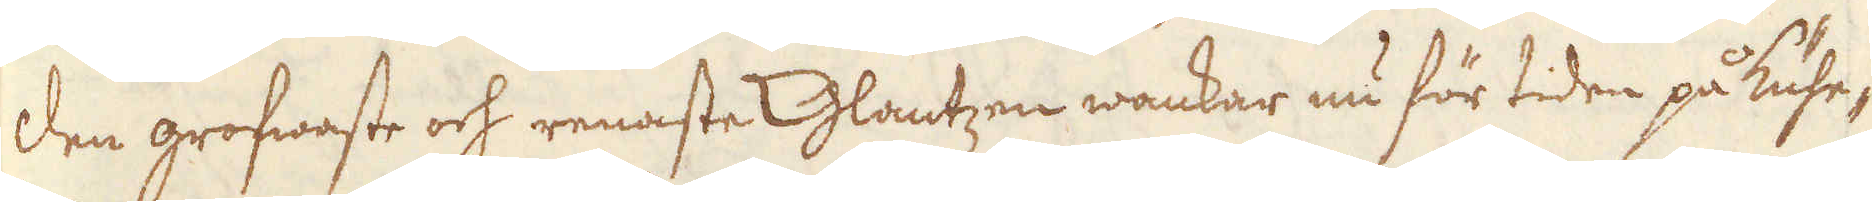Den grofwaste och renaste Glantzen wankar nu för tiden på kühe-
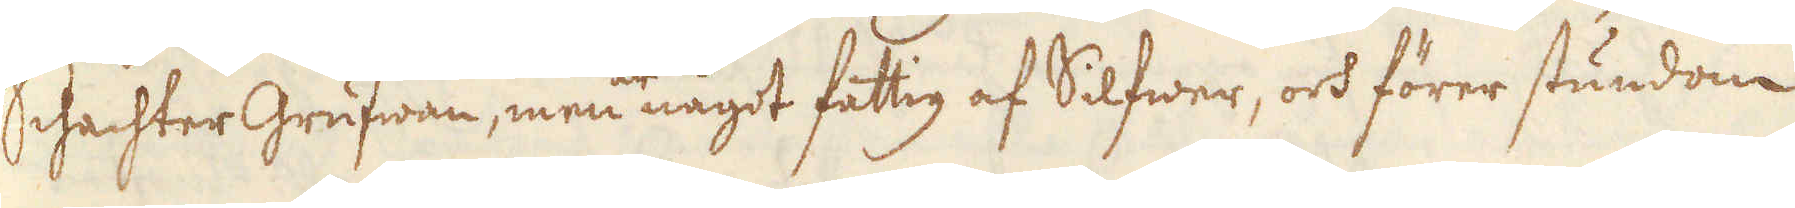Schachtergrufwan, men något fattig af Silfwer, och förer stundom
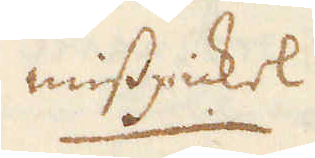misspickel
